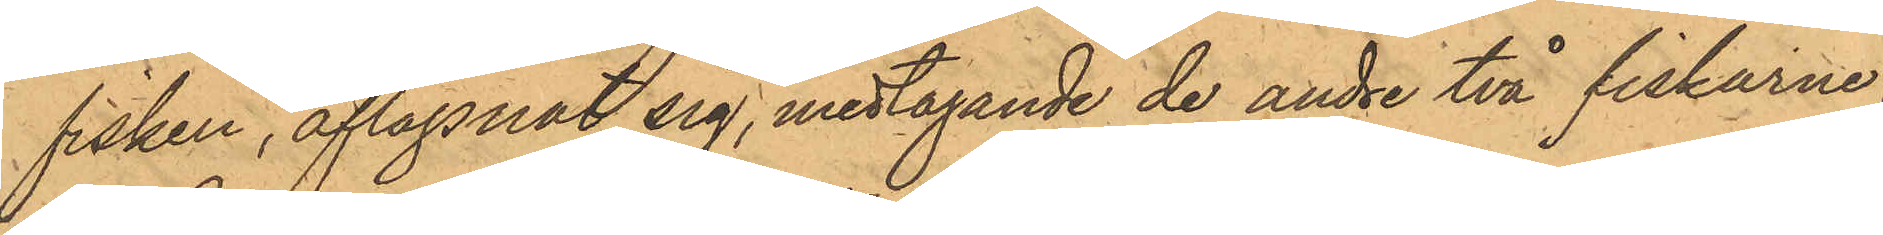fisken, aflägsnat sig, medtagande de andre två fiskarne.
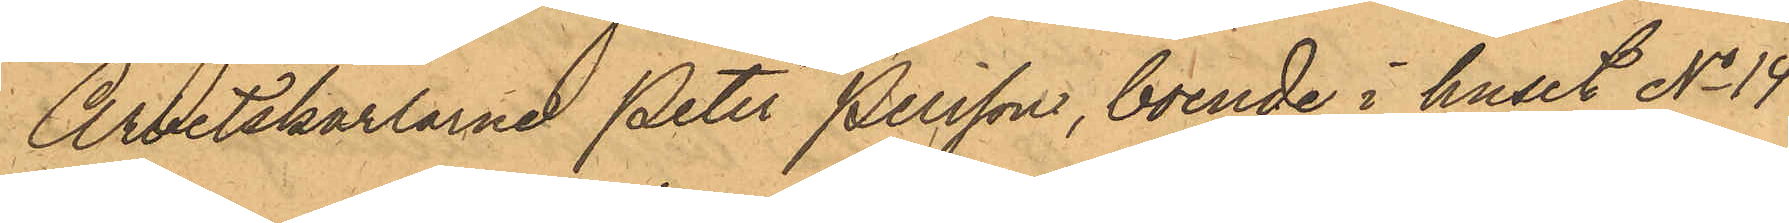Arbetskarlarne Peter Persson boende i huset No 14
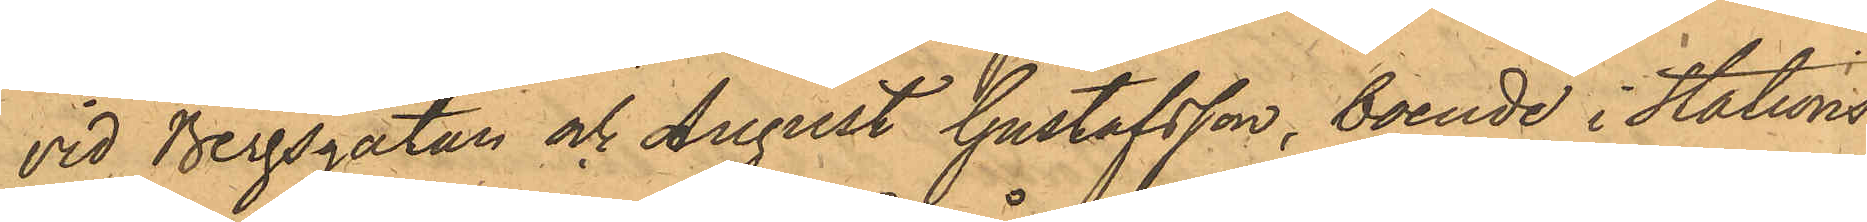vid Bergsgatan och August Gustafsson, boende i Stations¬
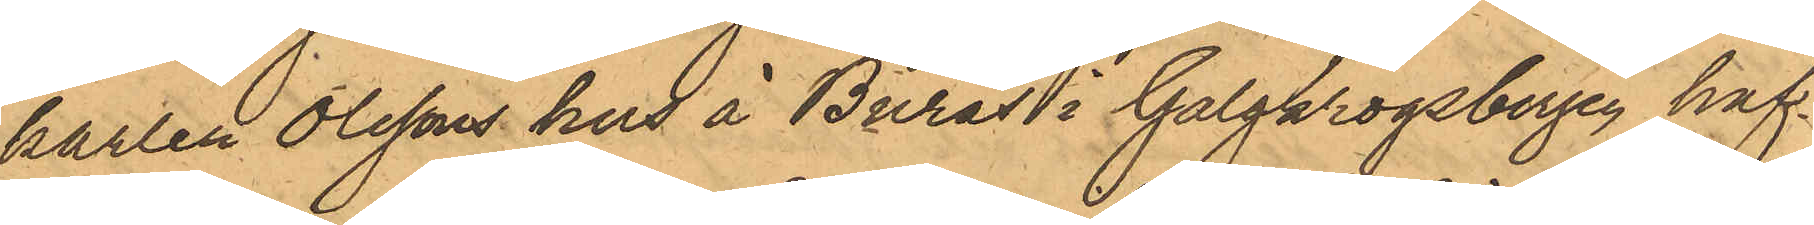karlen Olssons hus å Burås i Galgkrogsbergen haf¬
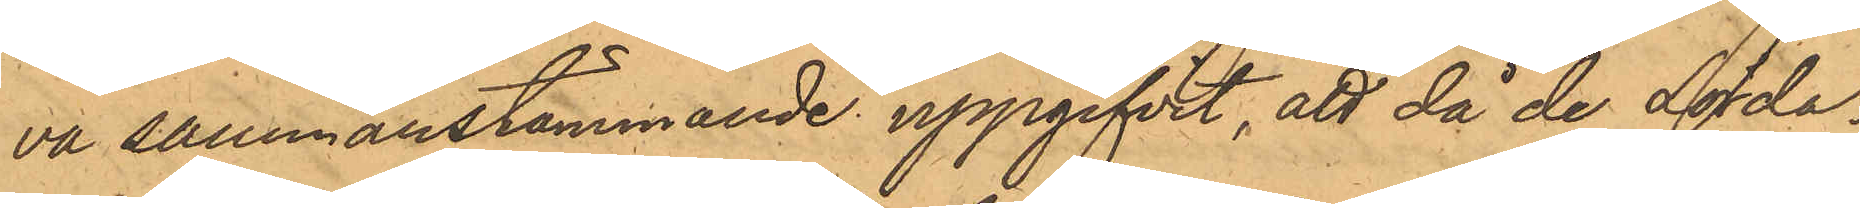va sammanstämmande uppgifvit, att då de Lörda¬
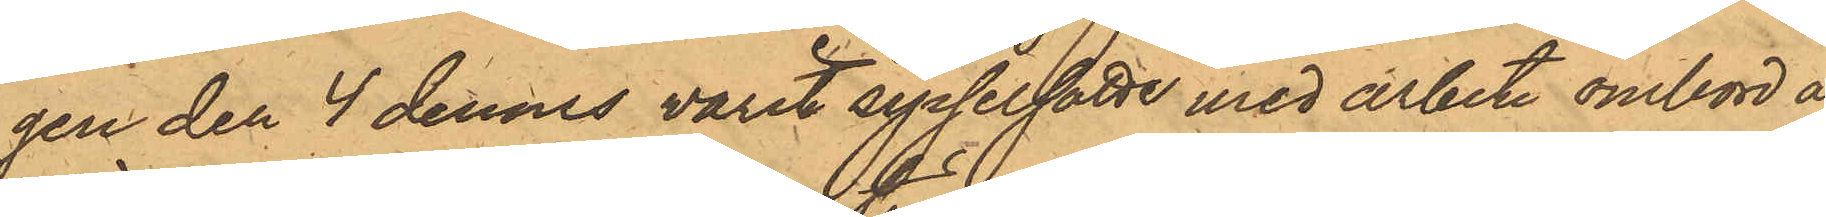gen den 4 dennes varit sysselsatte med arbete ombord å
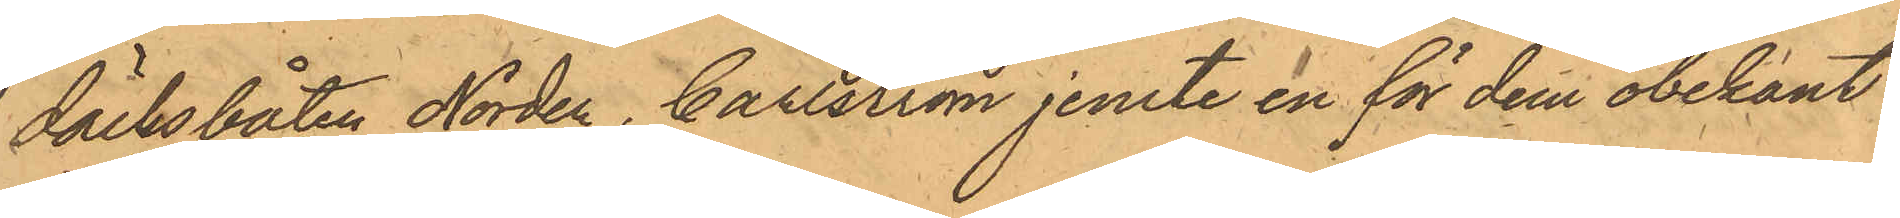däcksbåten Norden, Carlström jemte en för dem obekant
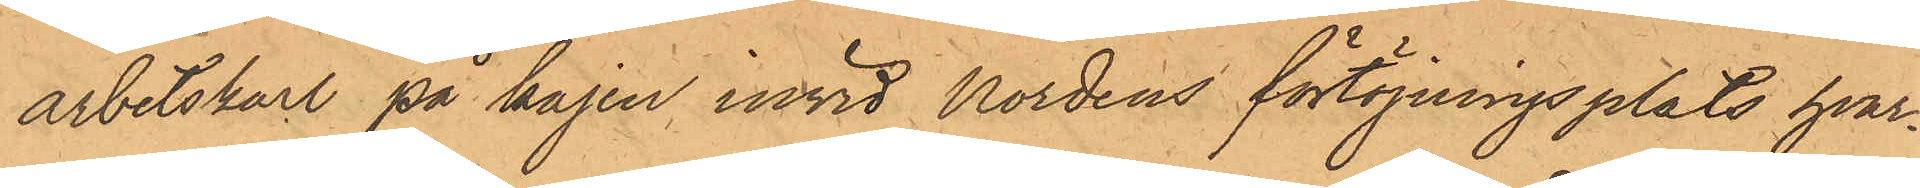arbetskarl på kajen invid Nordens förtöjningsplats, hvar¬
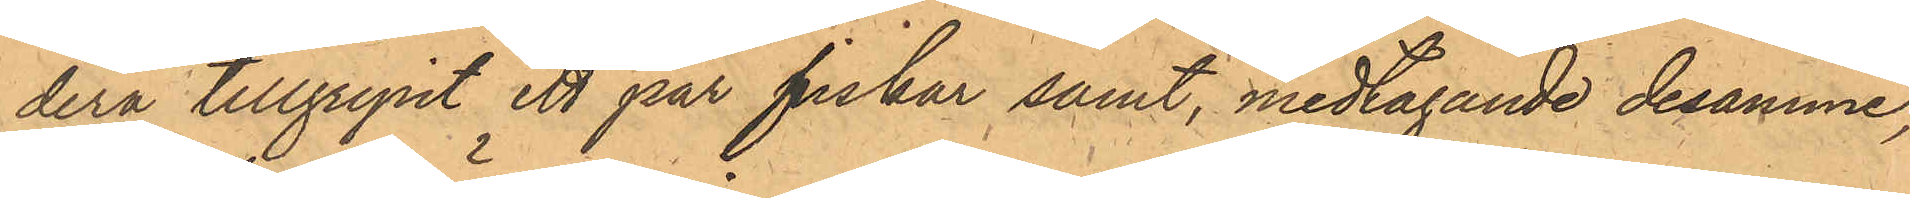dera tillgripit ett par fiskar samt, medtagande desamme,
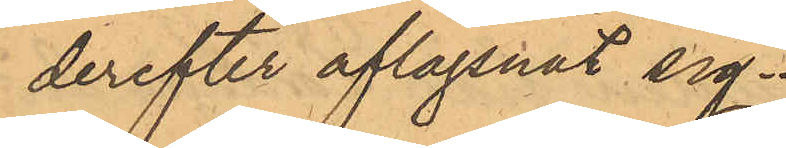derefter aflägsnat sig.
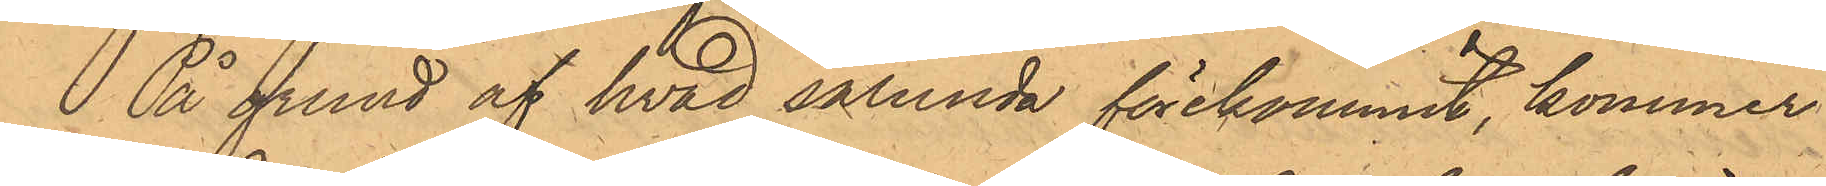På grund af hvad sålunda förekommit, kommer
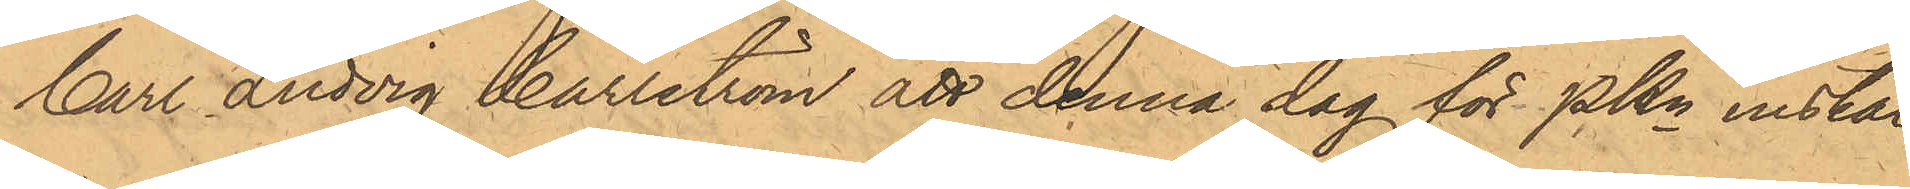Carl Ludvig Carlström att denna dag för PKn instäl¬
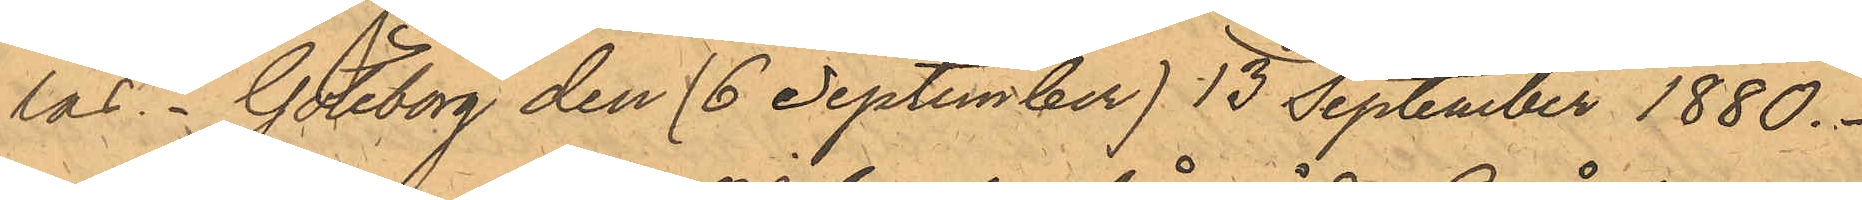las. Göteborg den (6 September) 13 September 1880.
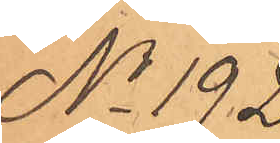No 192.
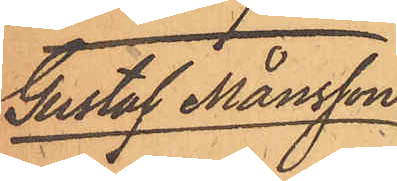Gustaf Månsson.
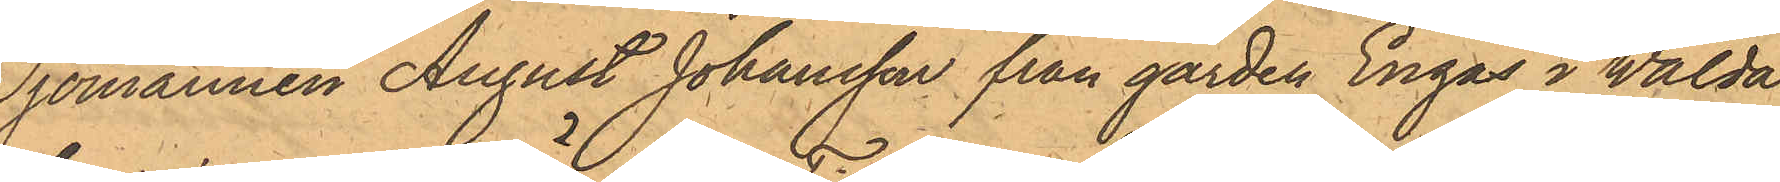Sjömannen August Johansson från gården Engås i Walda
